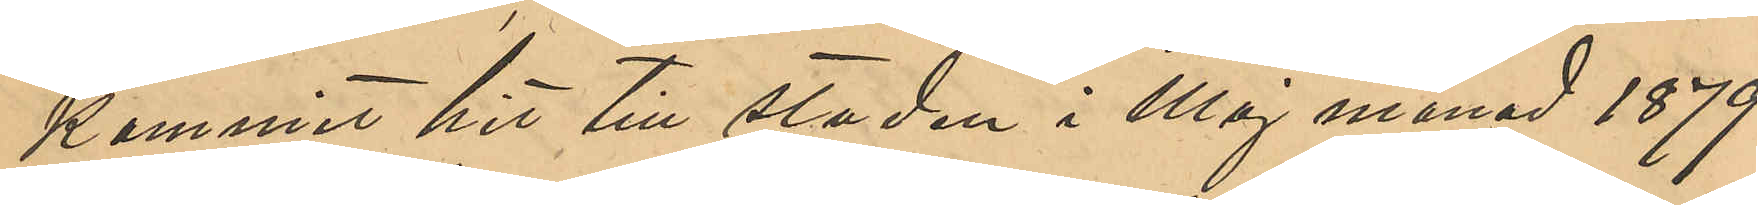kommit hit till staden i Maj månad 1879
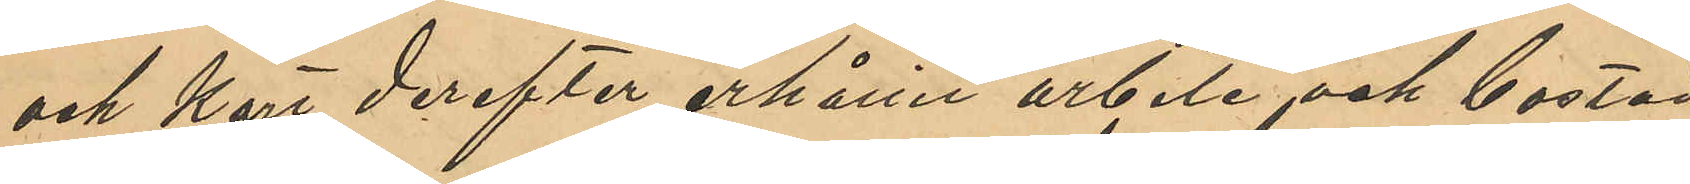och derefter erhållit arbete och bostad
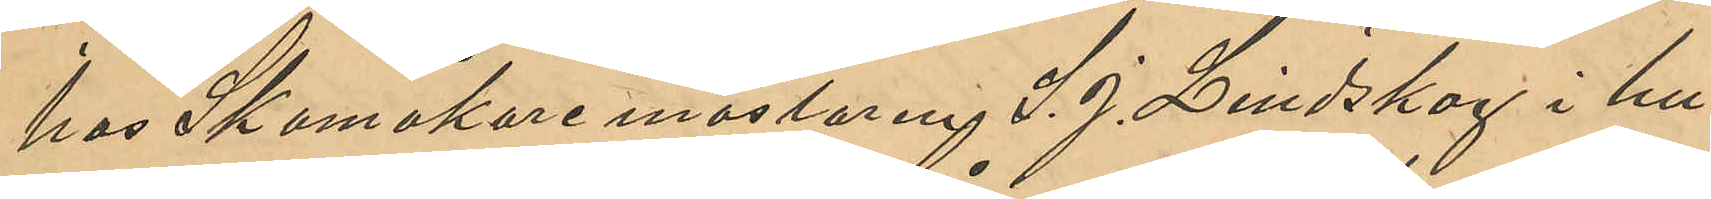hos Skomakaremästaren L. J. Lindskog i hu¬
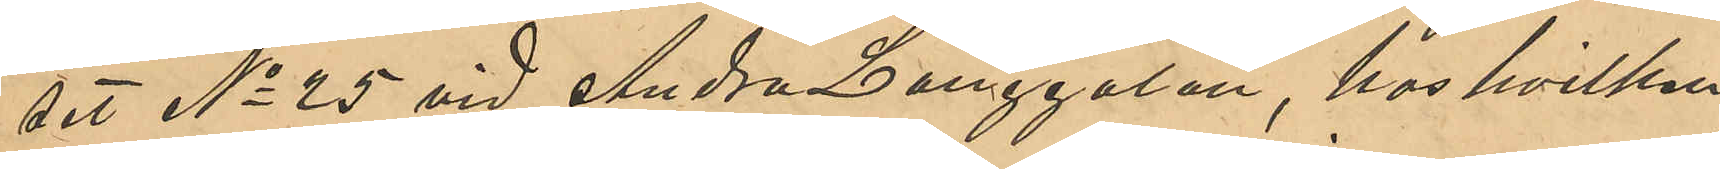set No 25 vid Andra Långgatan, hos hvilken
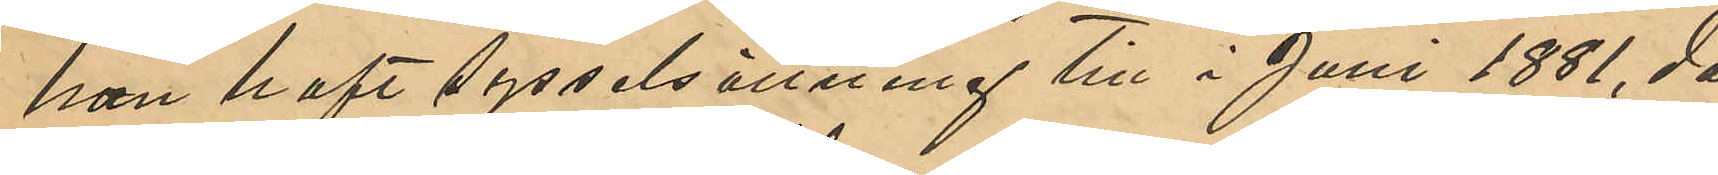han haft sysselsättning till i Juni 1881, då
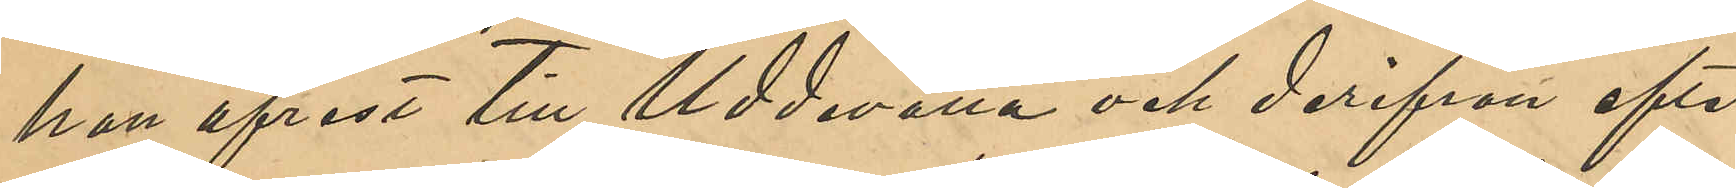han afrest till Uddevalla och derifrån efter
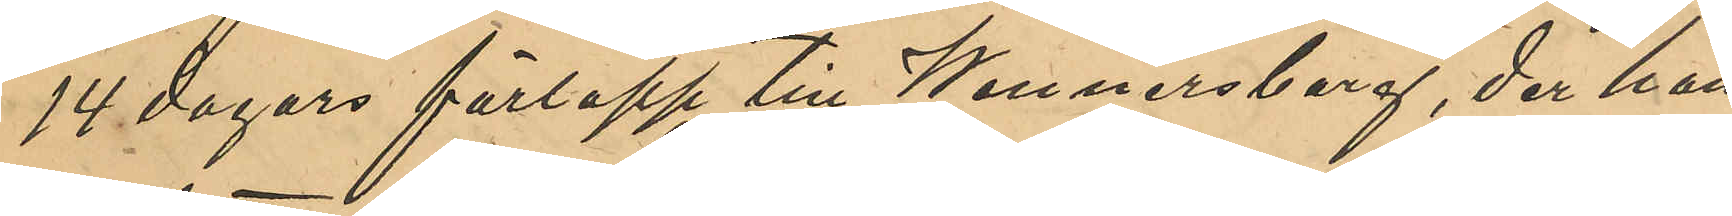14 dagars förlopp till Wenersborg, der han
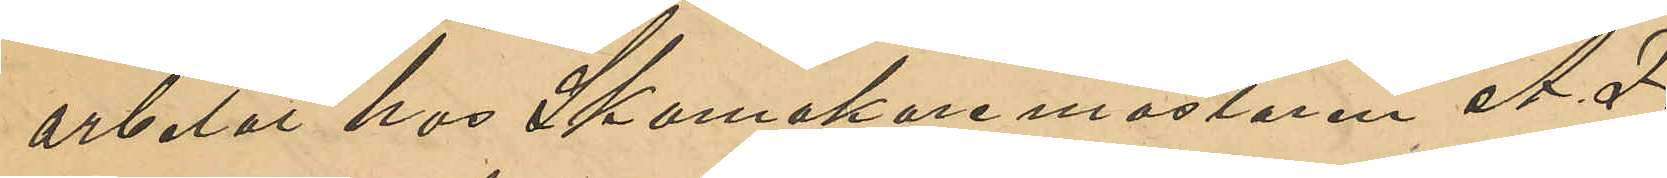arbetat hos Skomakaremästaren A. F.
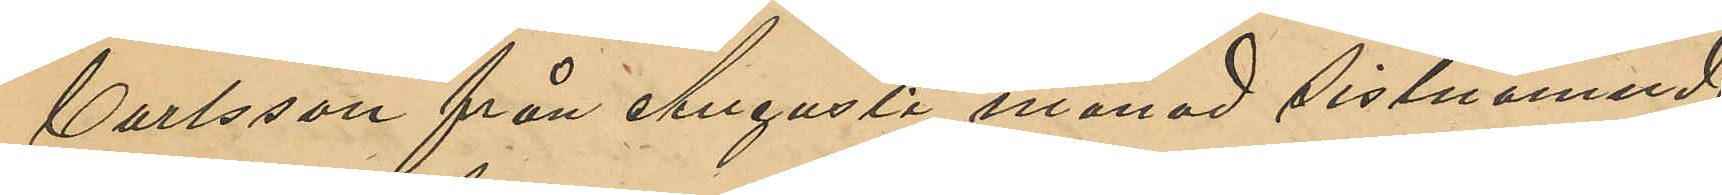Carlsson från Augusti månad sistnämnde
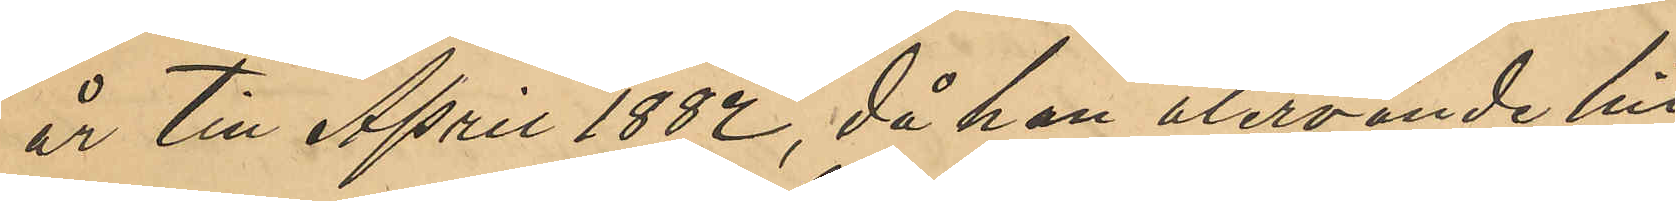år till April 1882, då han återvände till
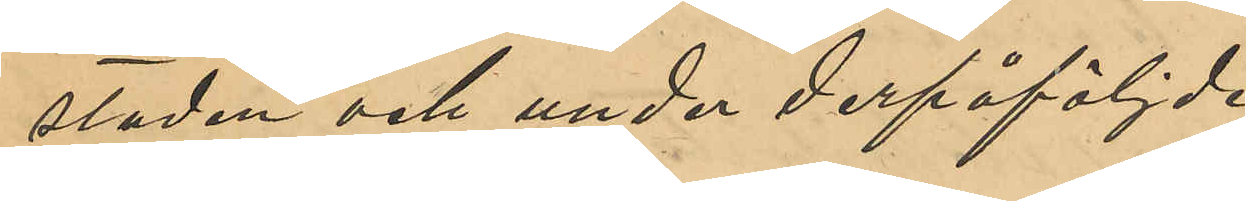staden och under derpåföljde
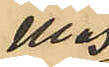Maj
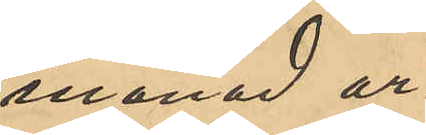månad ar¬
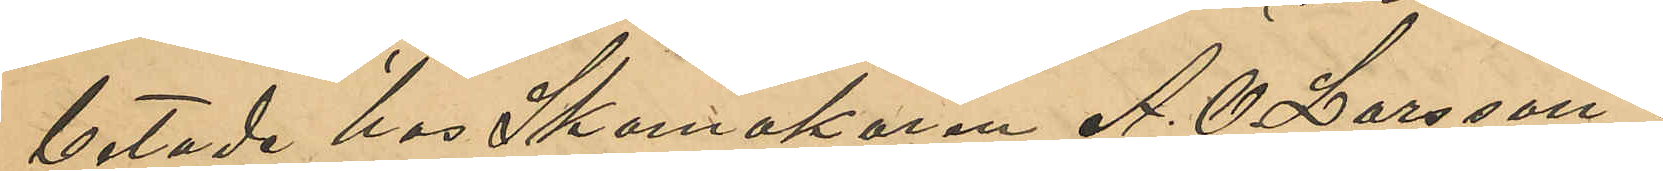betade hos Skomakaren A. O. Larsson i
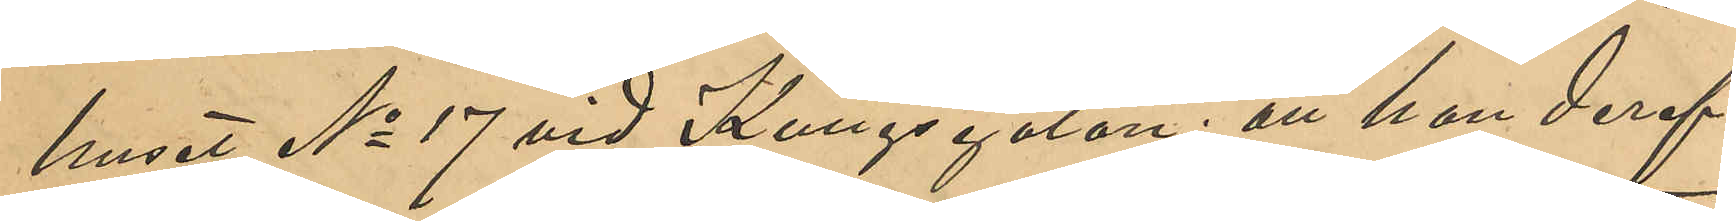huset No 17 vid Kungsgatan; att han deref¬
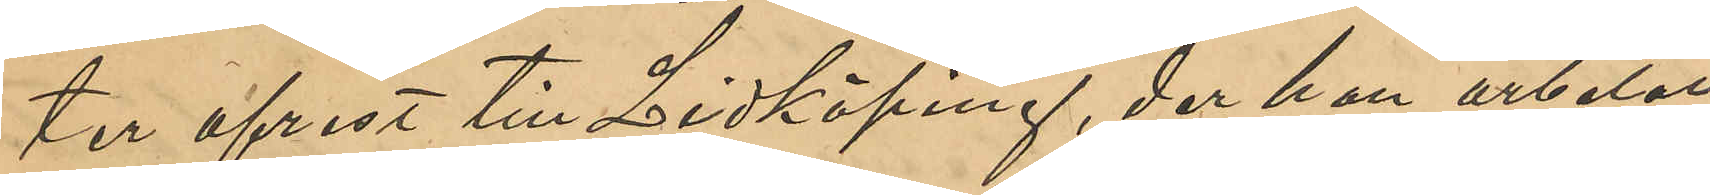ter afrest till Linköping, der han arbetat
